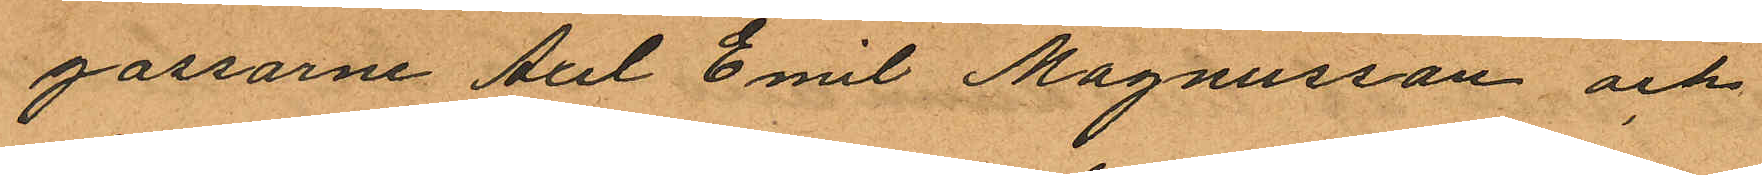gossarne Axel Emil Magnusson och
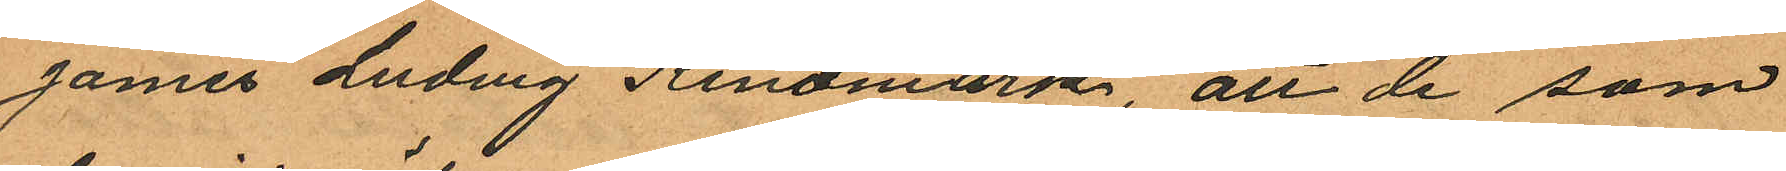James Ludvig Kindmark, att de som
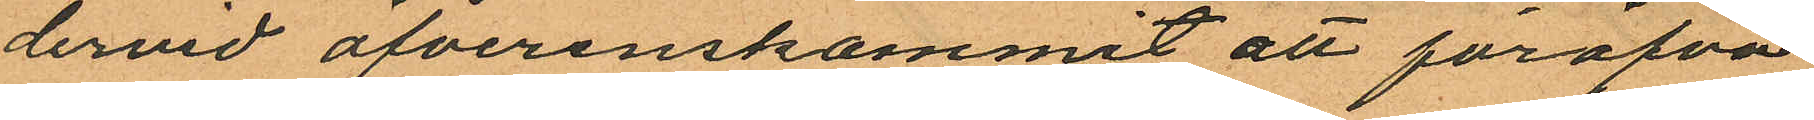dervid öfverenskommit att föröfva
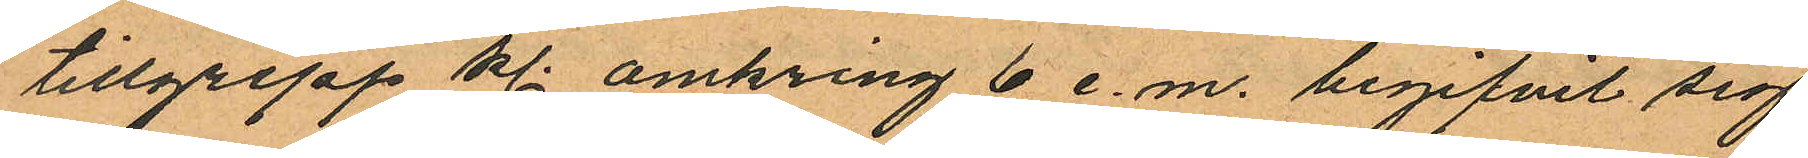tillgrepp kl. omkring 6 e.m. begifvit sig
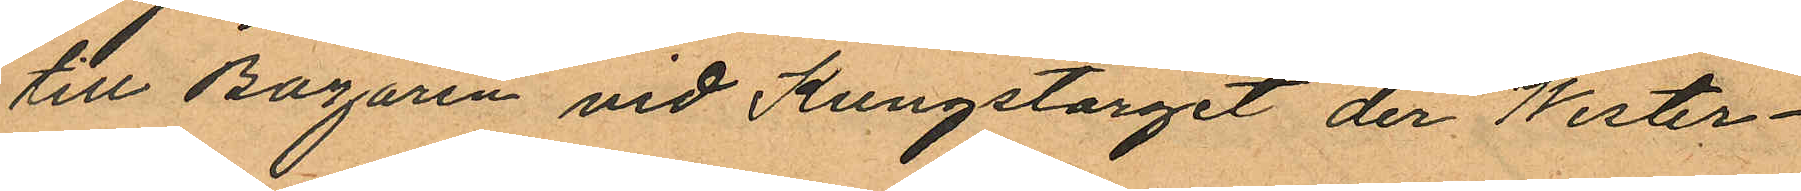till Bazaren vid Kungstorget der Wester¬
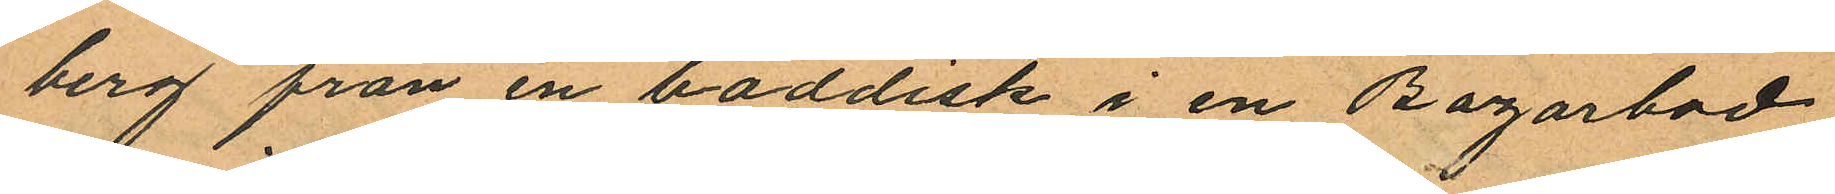berg från en boddisk i en Bazarbod
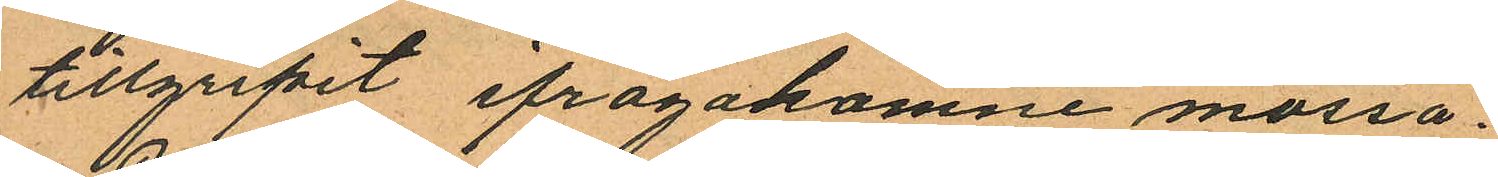tillgripit ifrågakomne mössa.
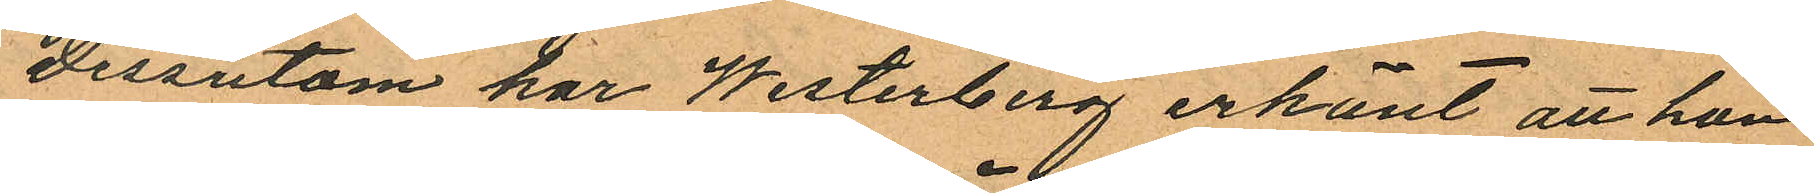Dessutom har Westerberg erkänt att han
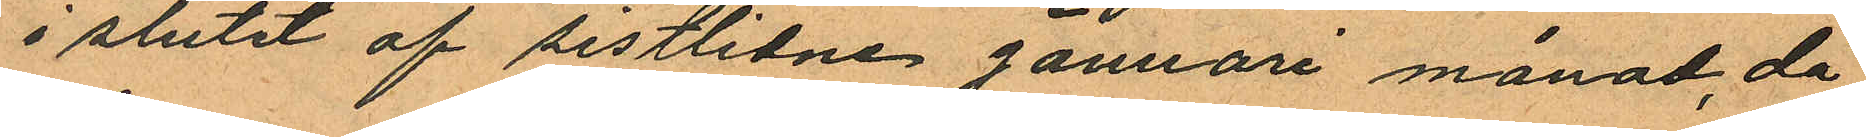i slutet af sistlidne Januari månad, då
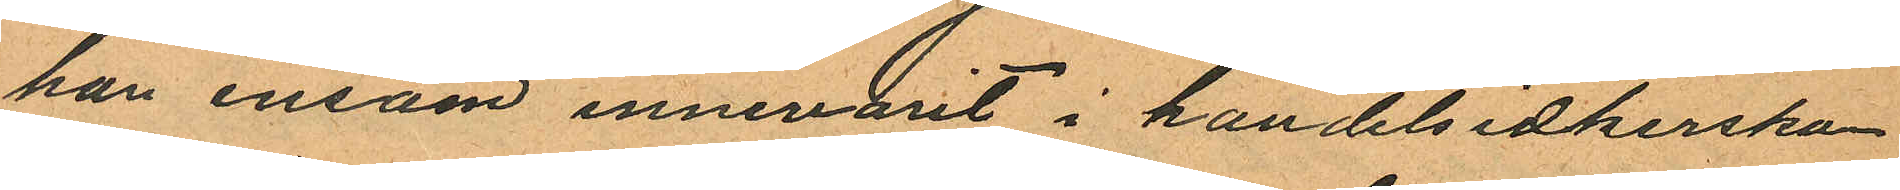han ensam innevarit i handelsidkerskan
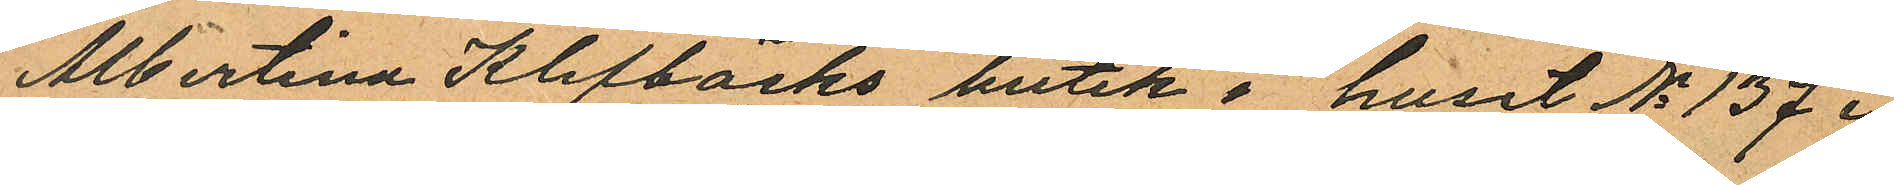Albertina Klefbäcks butik i huset No 137 i
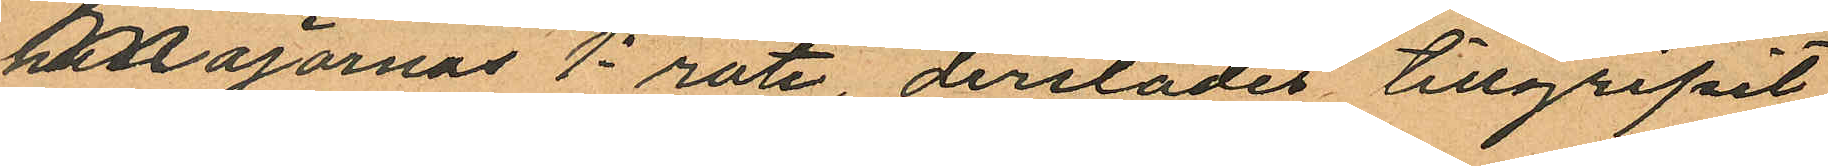Majornas 1a rote, derstädes tillgripit
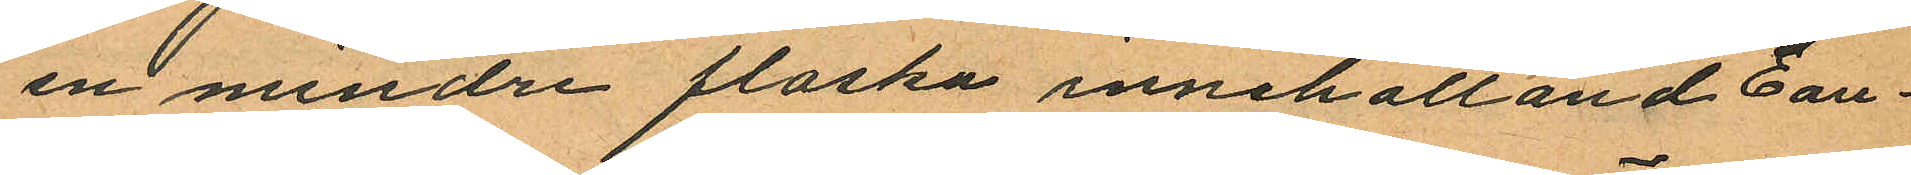en mindre flaska innehålland Eau
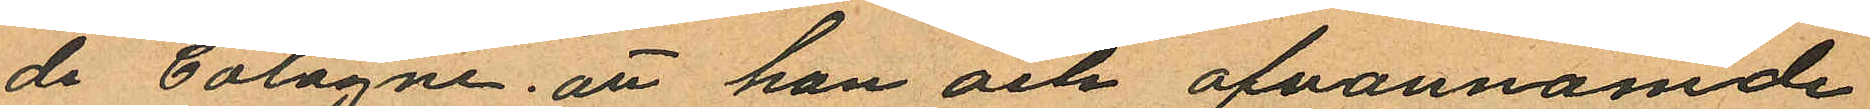de Cologne; att han och ofvannämde
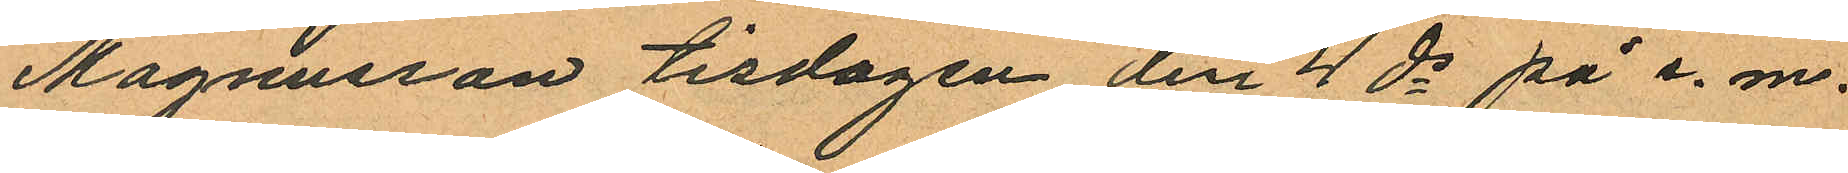Magnusson tisdagen den 4 ds på e. m.
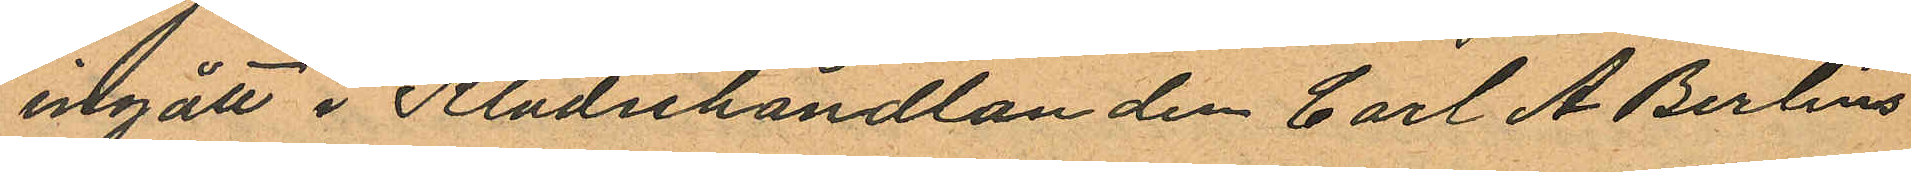ingått i Klädeshandlanden Carl A Berlins
